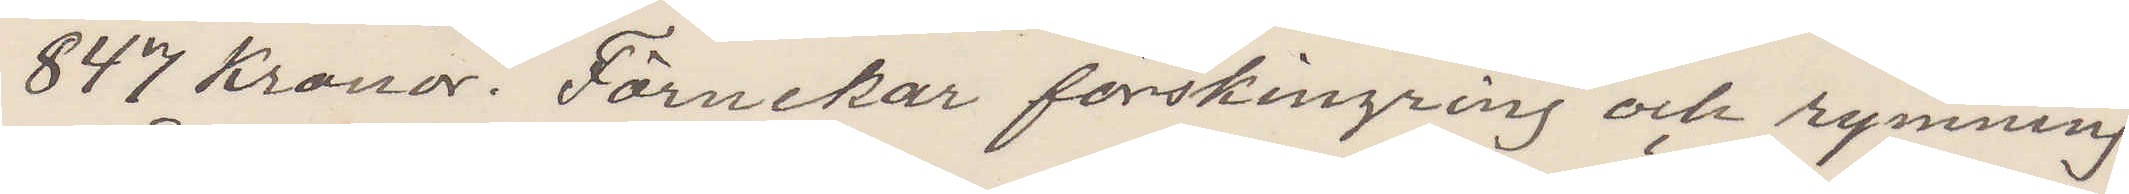847 Kronor. Förnekar förskingring och rymning.
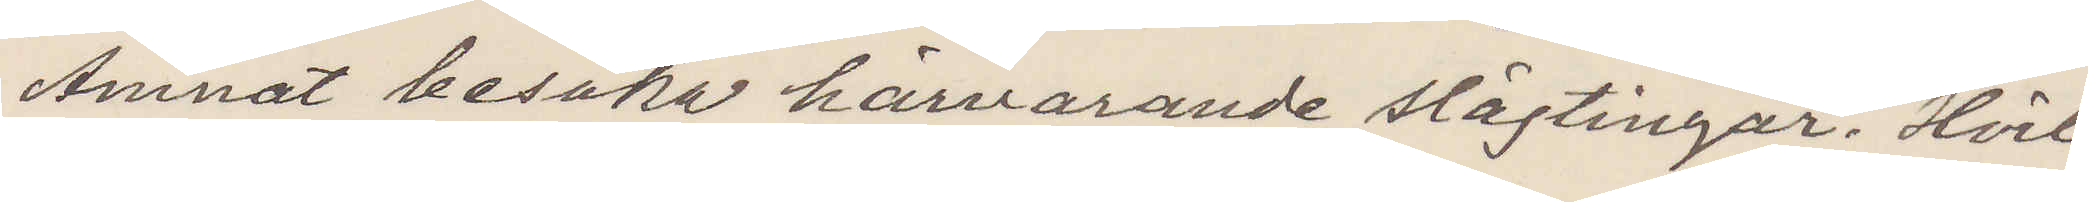Ämnat besöka härvarande slägtingar. Hvil¬
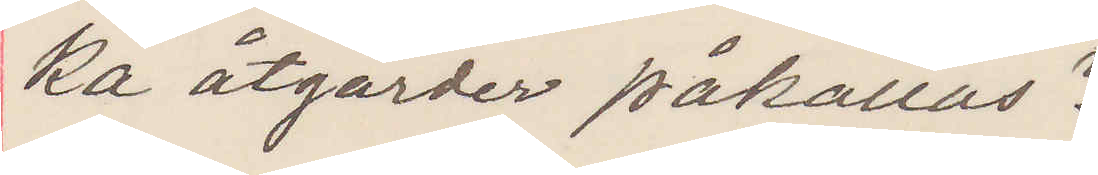ka åtgärder påkallas?
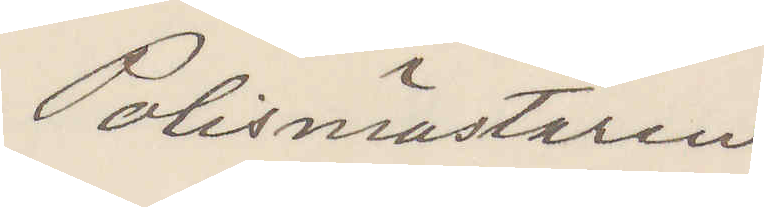Polismästaren
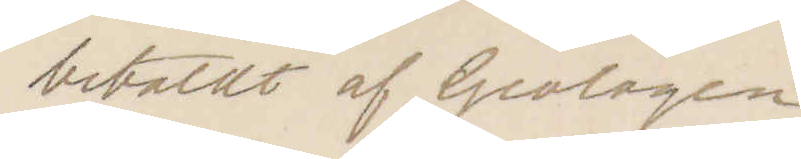betaldt af Geologen
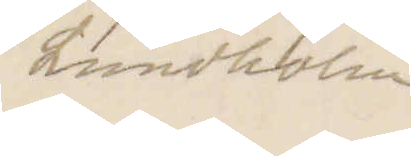Lundbohm
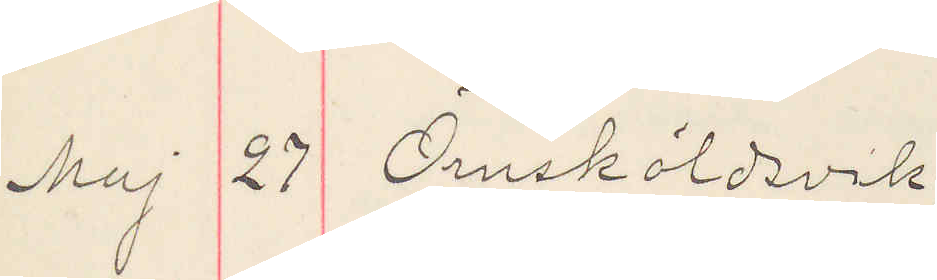Maj 27 Örnsköldsvik
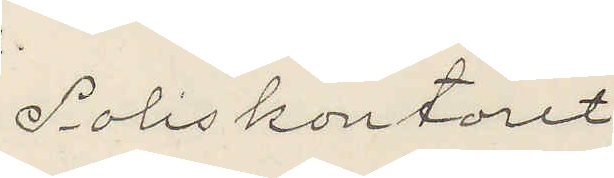Poliskontoret
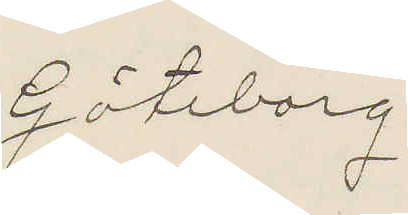Göteborg.
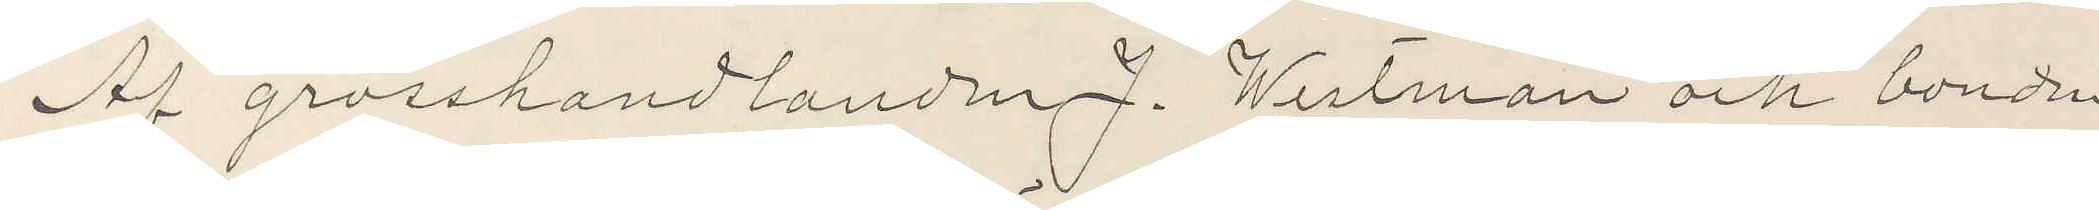Af grosshandlanden J. Westman och bonden
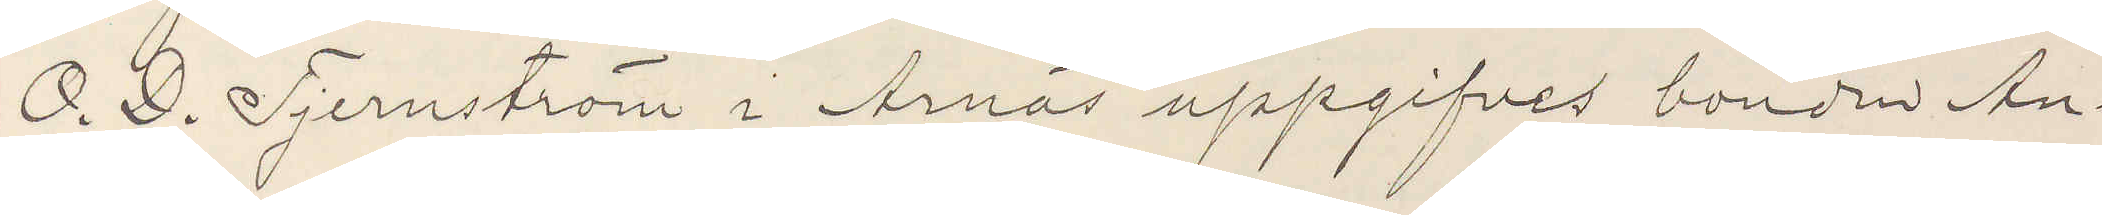O. D. Tjernström i Arnäs uppgifves bonden An¬
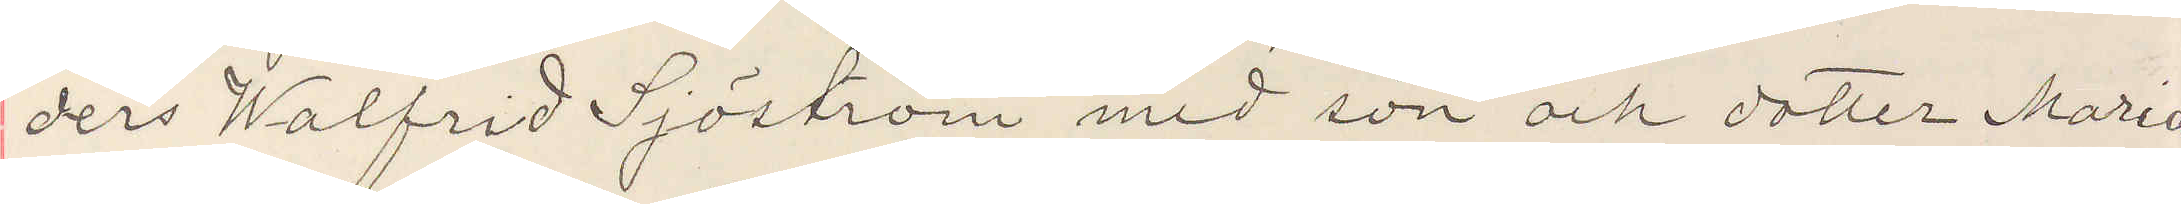ders Walfrid Sjöström med son och dotter Maria
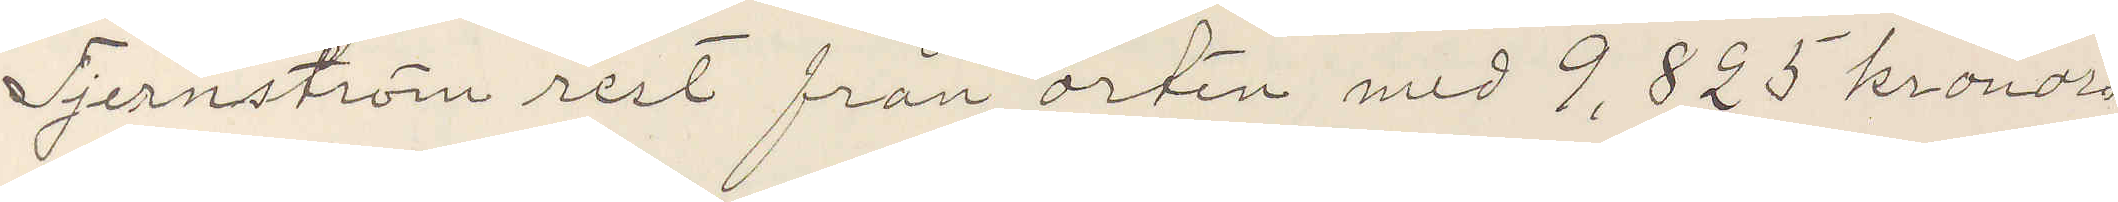Tjernström rest från orten med 9,825 kronor
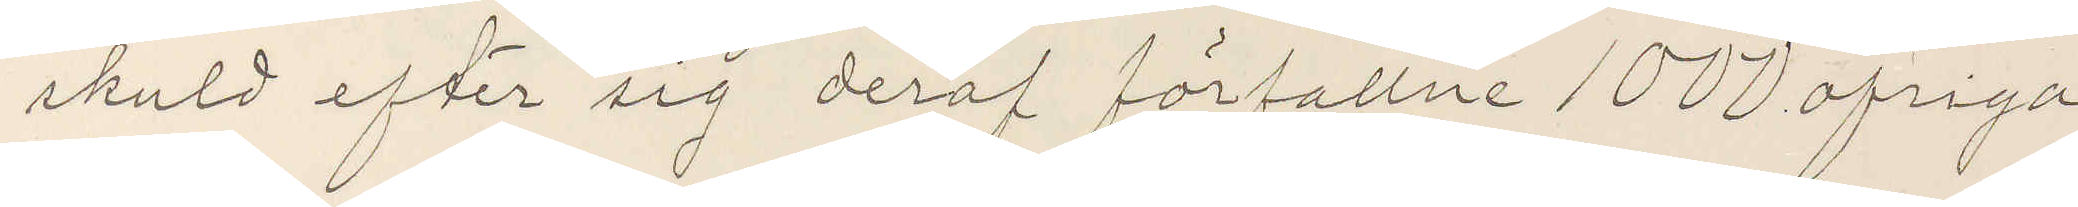skuld efter sig deraf förfallne 1000 öfriga
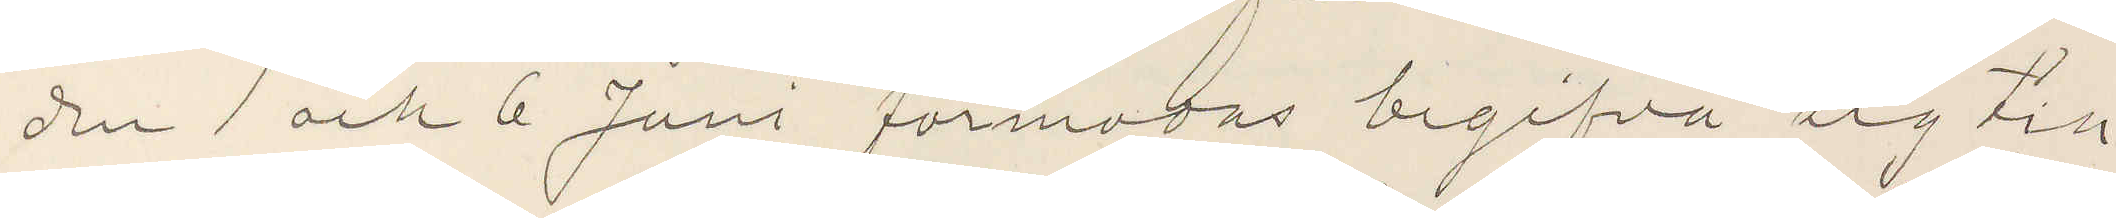den 1 och 6 Juni förmodas begifva sig till
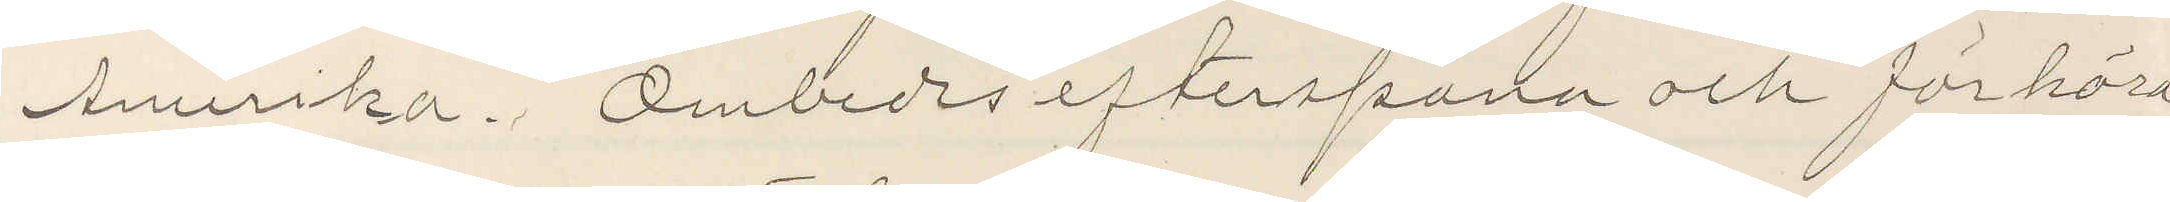Amerika. Ombedes efterspana och förhöra
